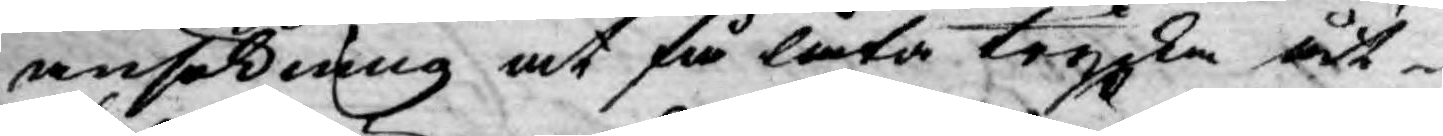ansökning at få låta trycka åt¬
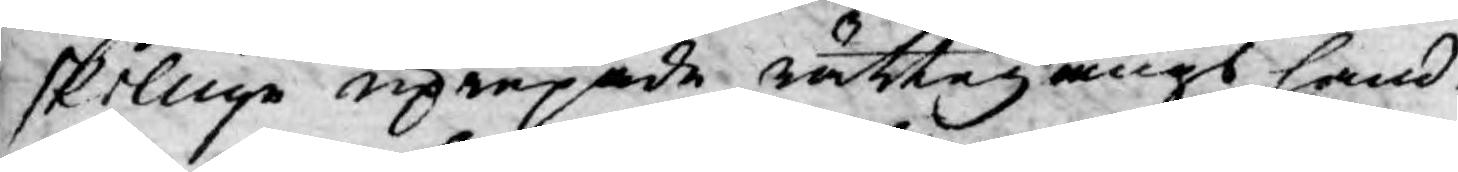skillige uprepade rättegångs hand¬
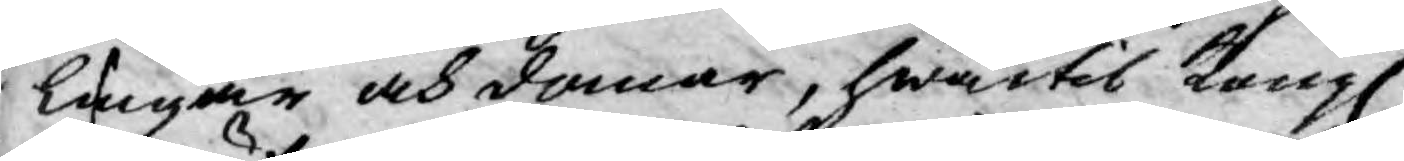lingar och domar, hwartil Kongl.
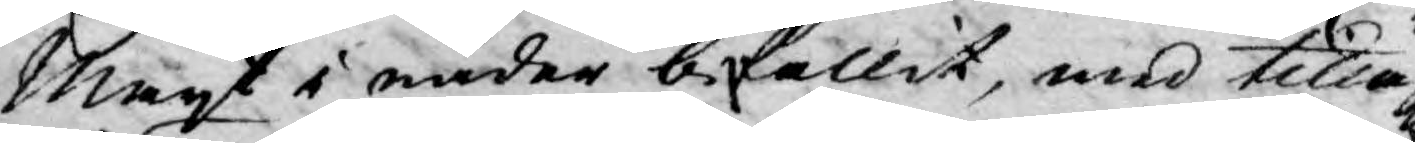Mayt i nåder befallit, med tillägg¬
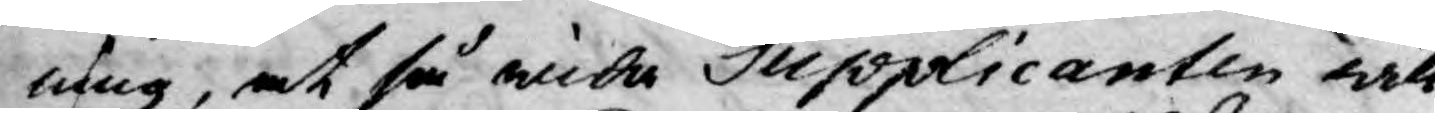ning, at så wida Supplicanten will
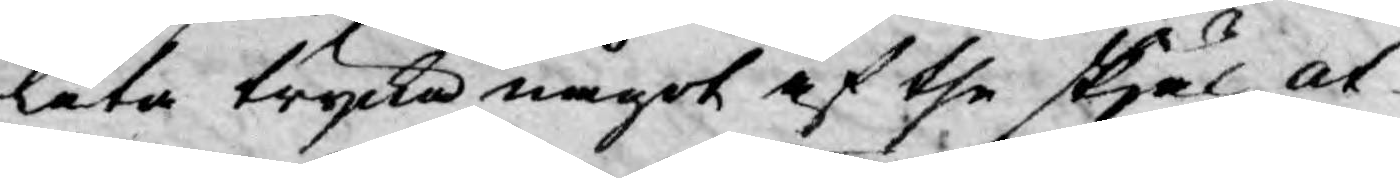låta trycka något af the skjäl at¬
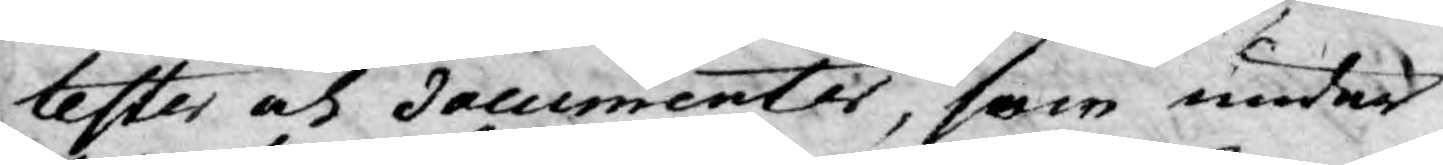tester och documenter, som under
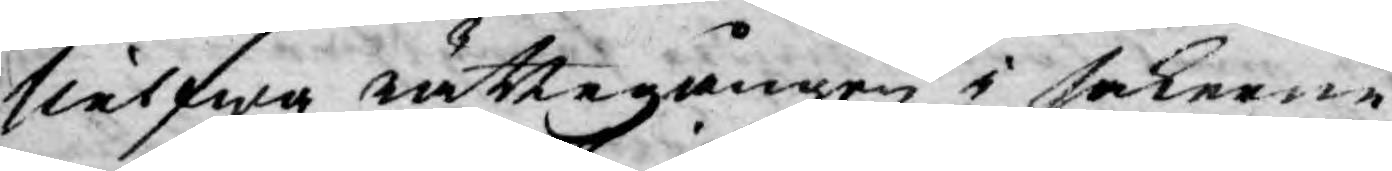sielfwa rättegången i sakerne
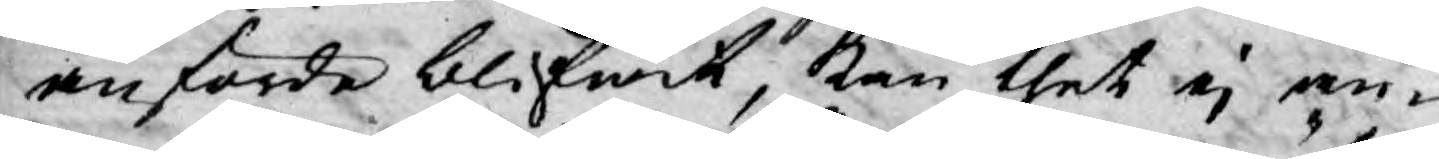anförde blifwit, kan thet ej an¬
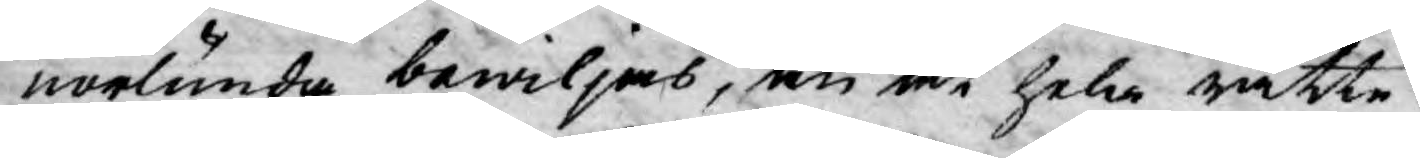norlunda bewiljas, än at hela rätte¬
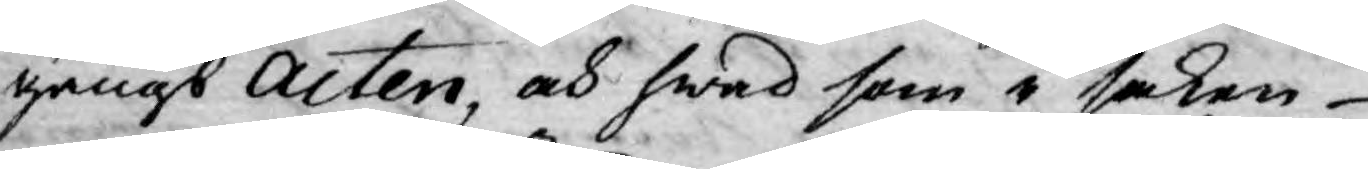gångs Acten, och hwad som i saken
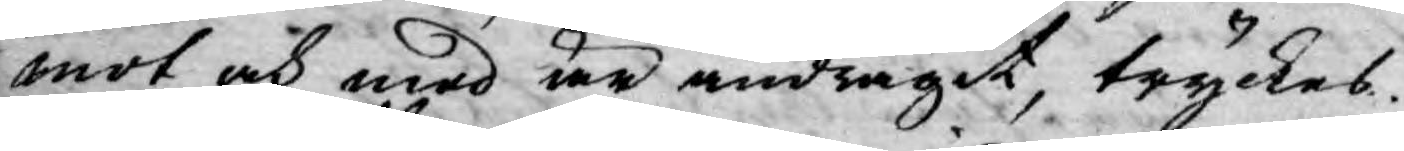mot och med är andragit, tryckes.
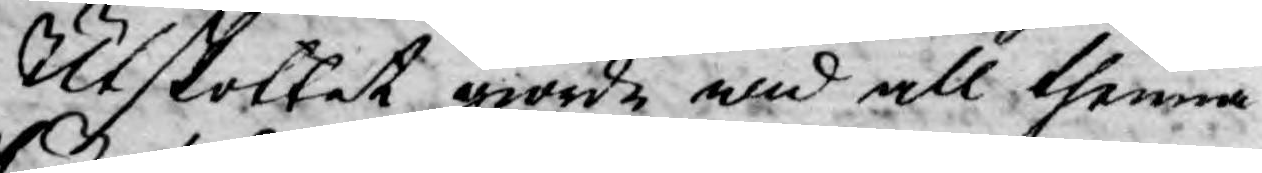Utskottet giorde wid all thenna
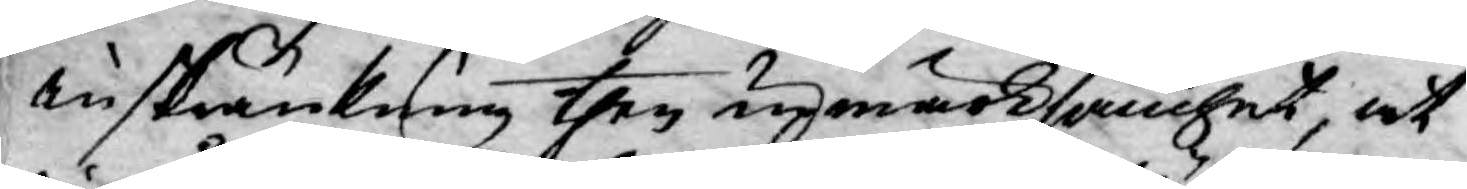inskränkning then upmärksamhet, at
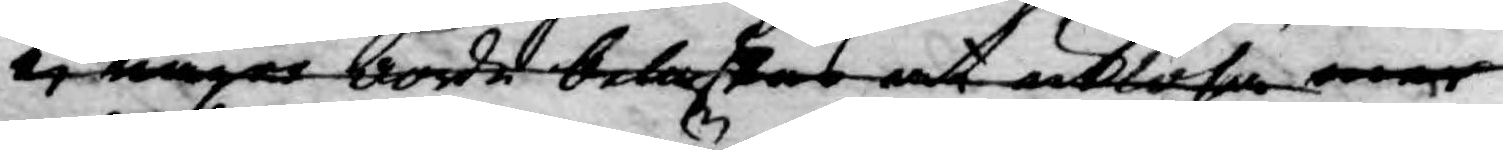ej någon borde belastas at utlösa mer
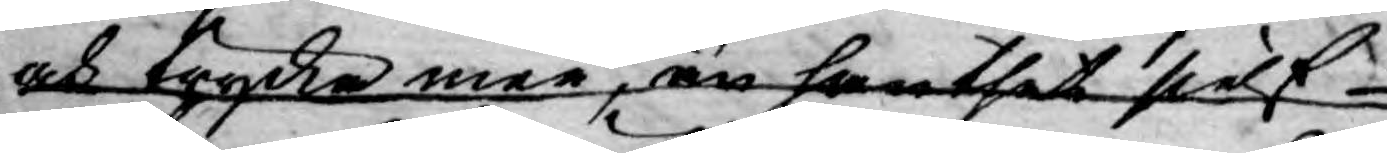och trycka mer, än han thet sielf
